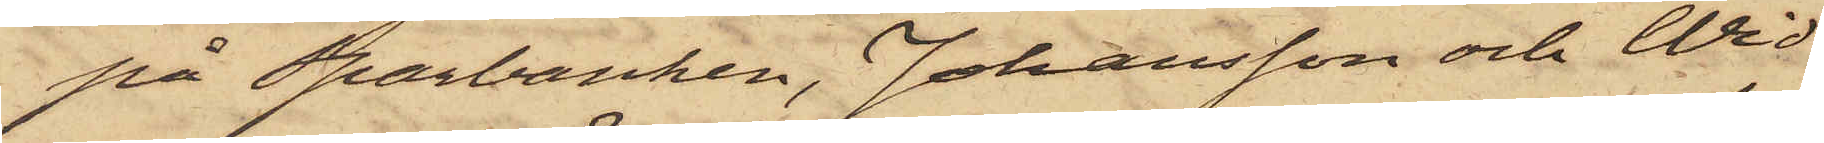på Sparbanken, Johansson och Wid¬
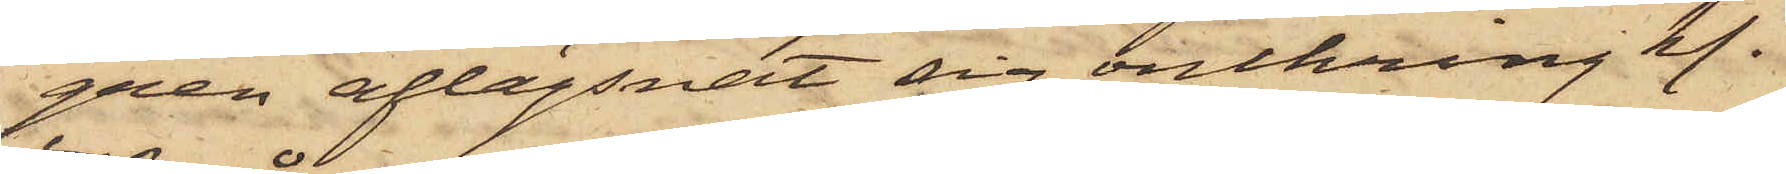gren aflägsnat sig omkring kl.
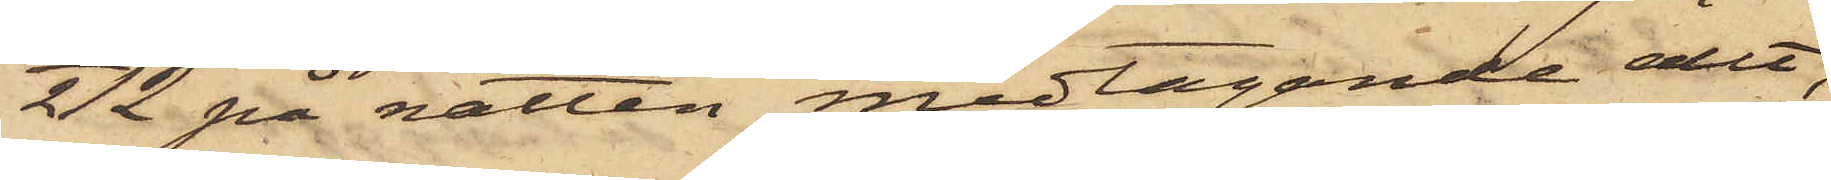1/2 12 på natten medtagande allt,
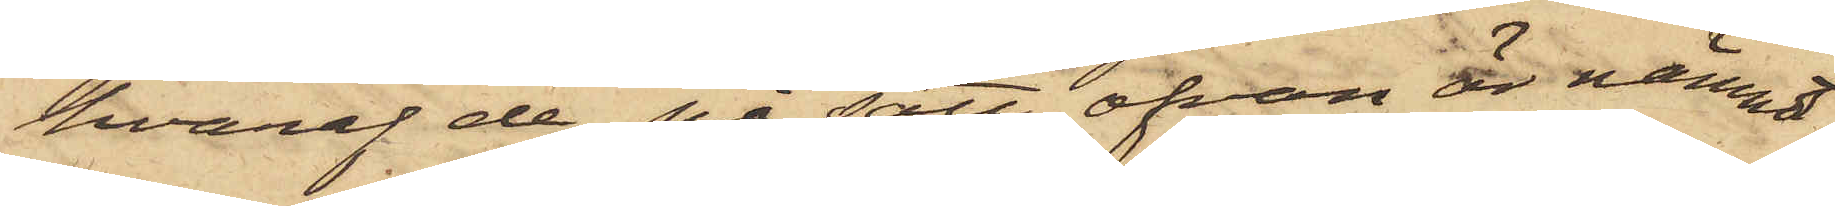hvaraf de, på sätt ofvan är nämndt,
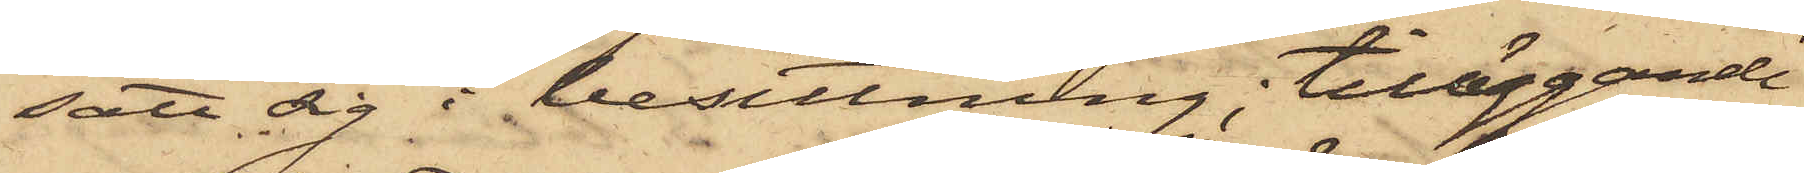satt sig i besittning, tilläggande
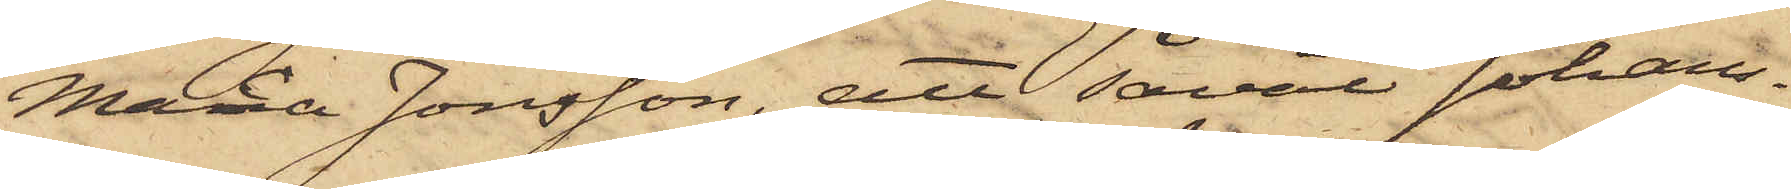Maria Jonsson, att såväl Johans¬
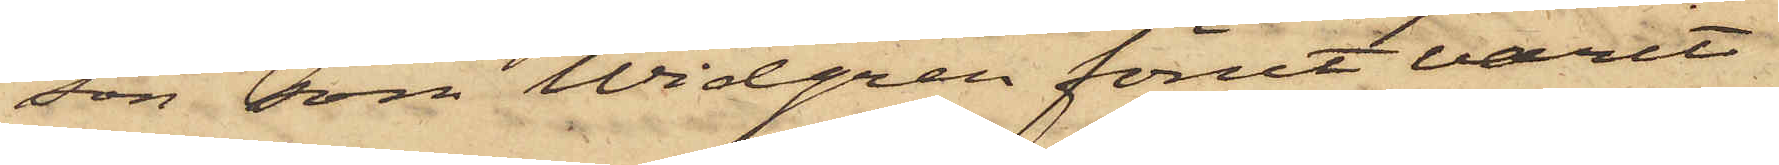son som Widgren förut varit
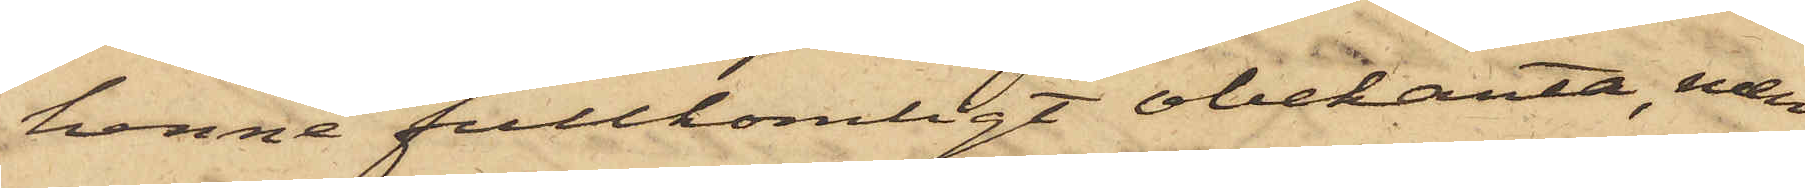henne fullkomligt obekanta, men
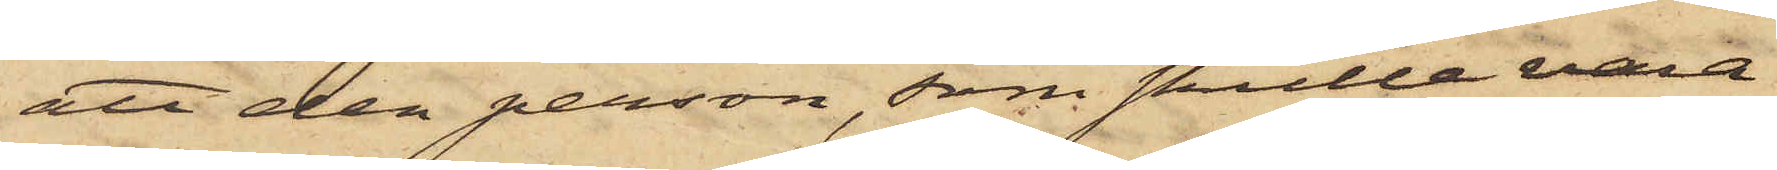att den person, som skulle vara
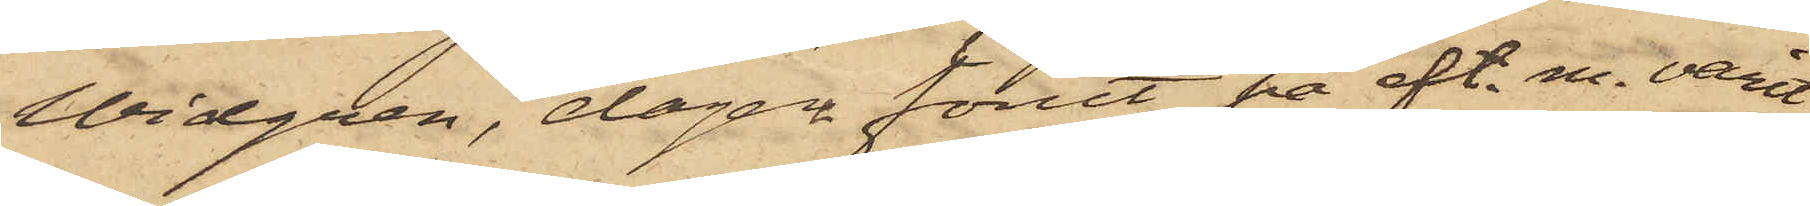Widgren, dagen förut på eft. m. varit
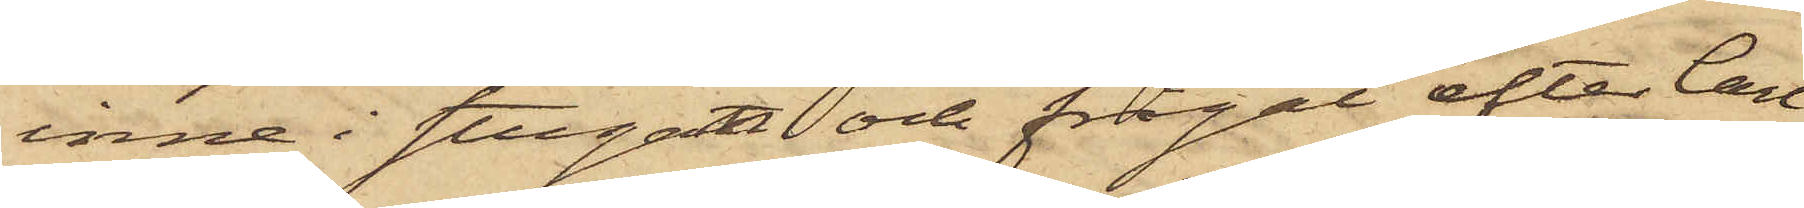inne i stugan och frågat efter Carl
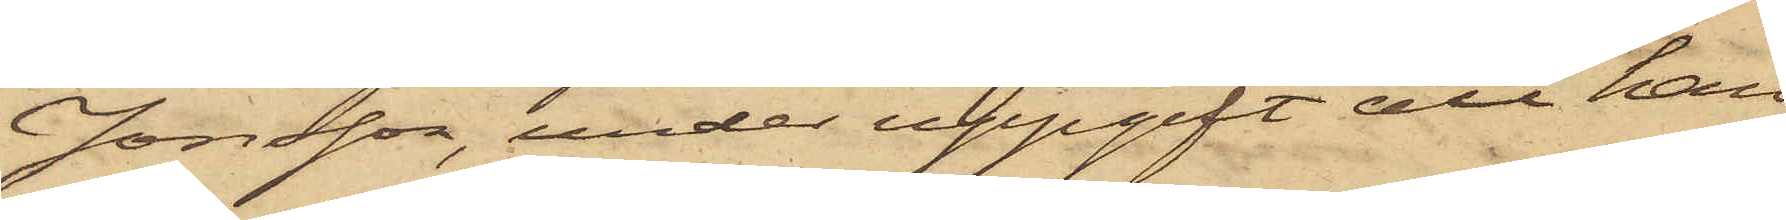Jonsson, under uppgift att han
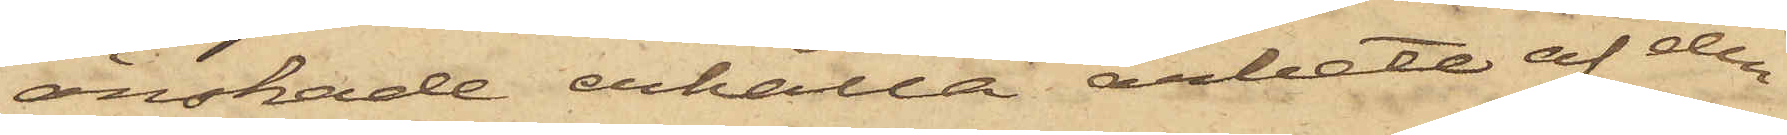önskade erhålla arbete af den¬
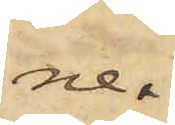ne. 
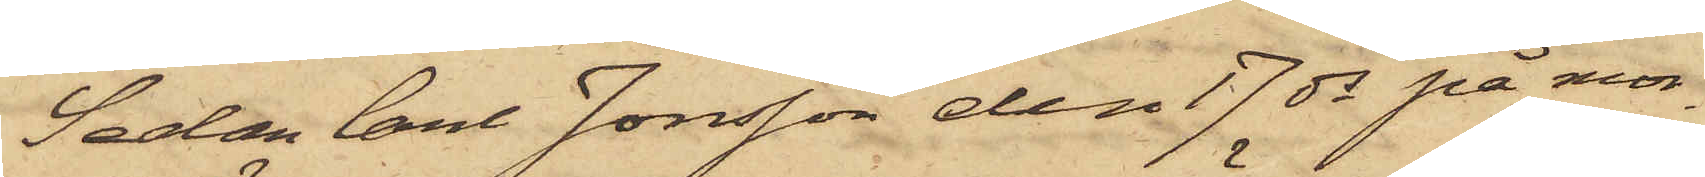Sedan Carl Jonsson den 17 ds på mor¬
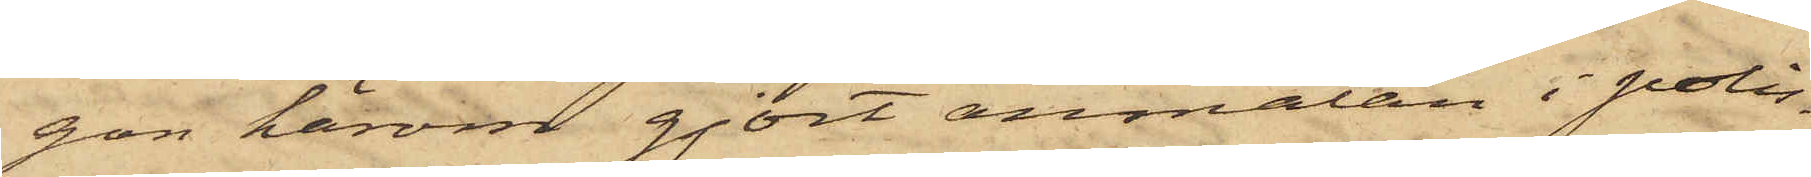gon härom gjort anmälan i polis¬
